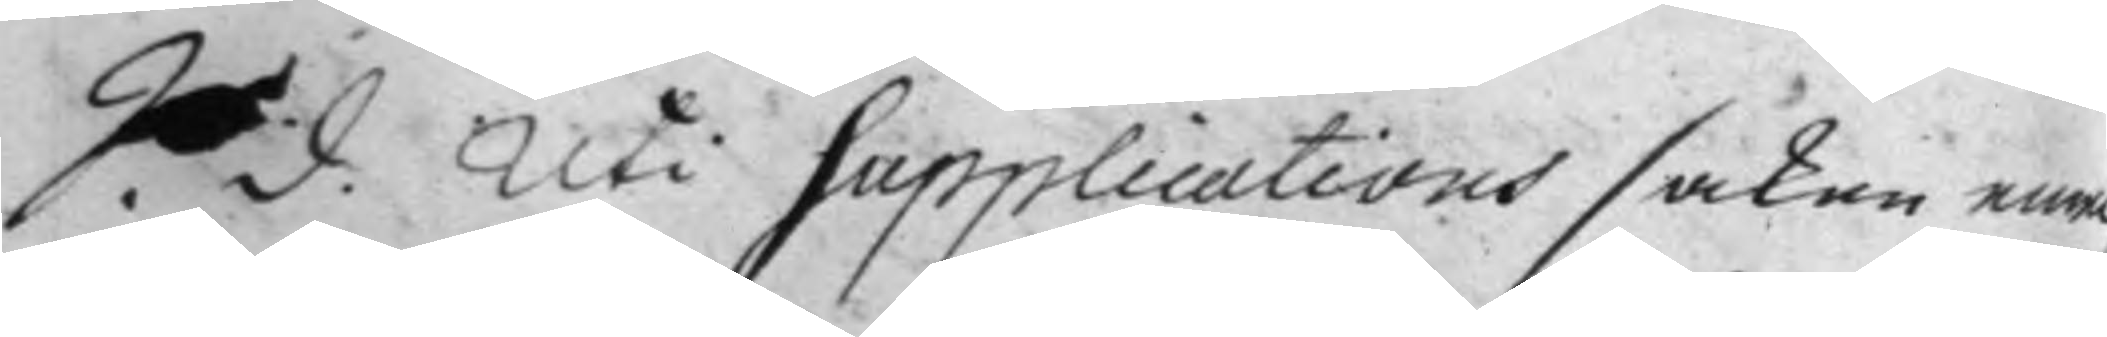S. d. Uti Supplications saken emel¬
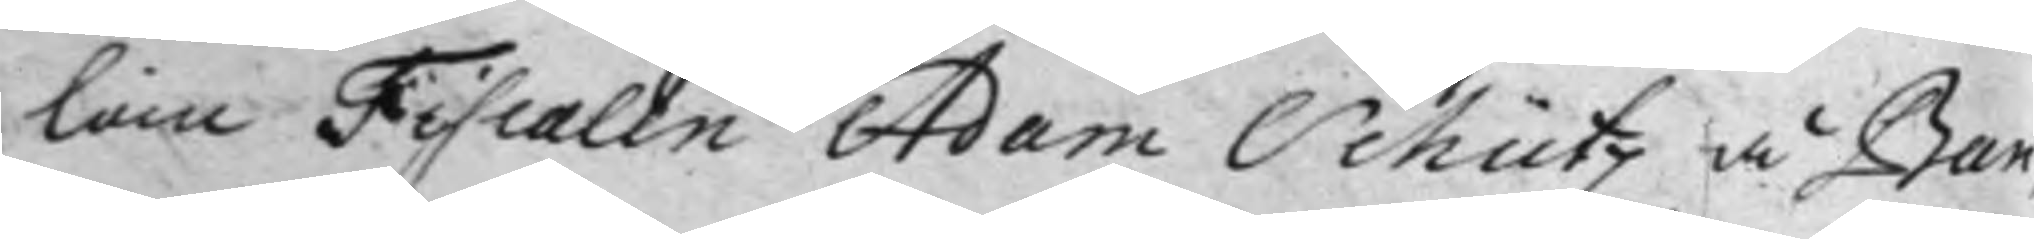lan Fiscalen Adam Schütz å Ban¬
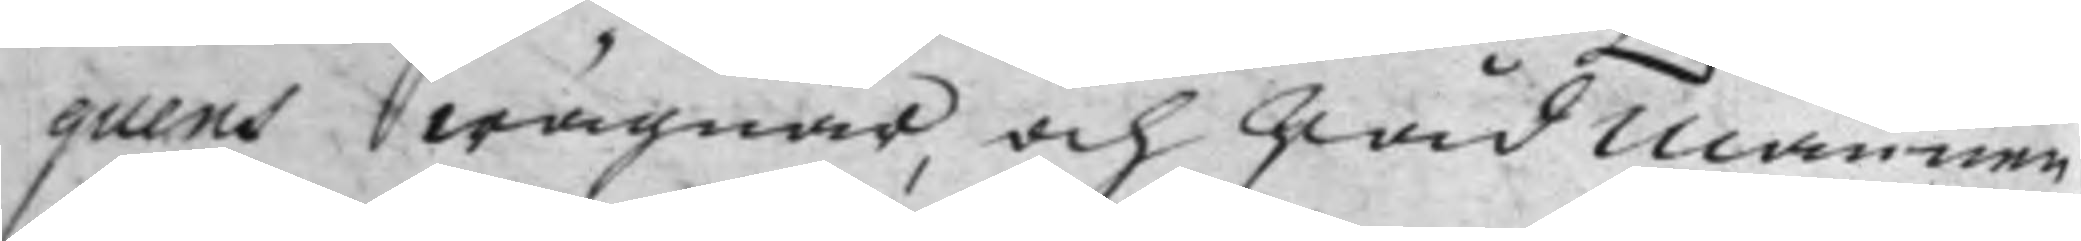quens wägnar, och Råd Mannen
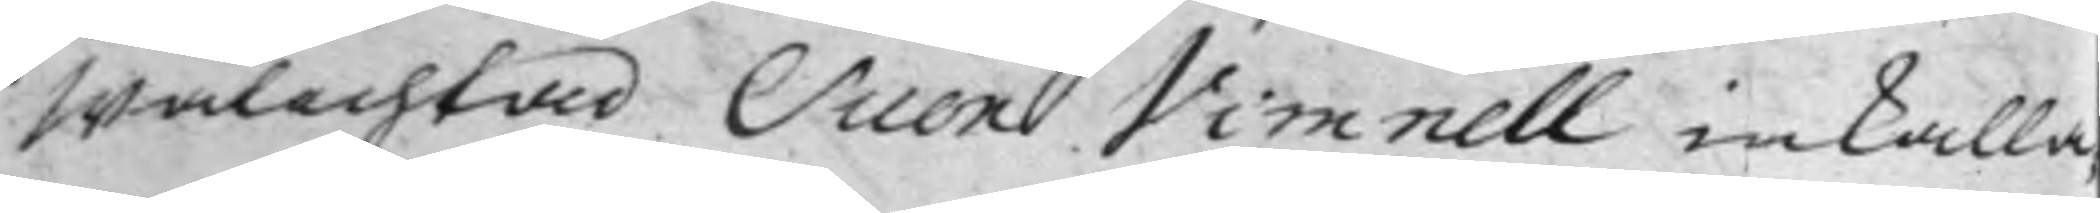wälachtad Sven Vimnell inkalla¬
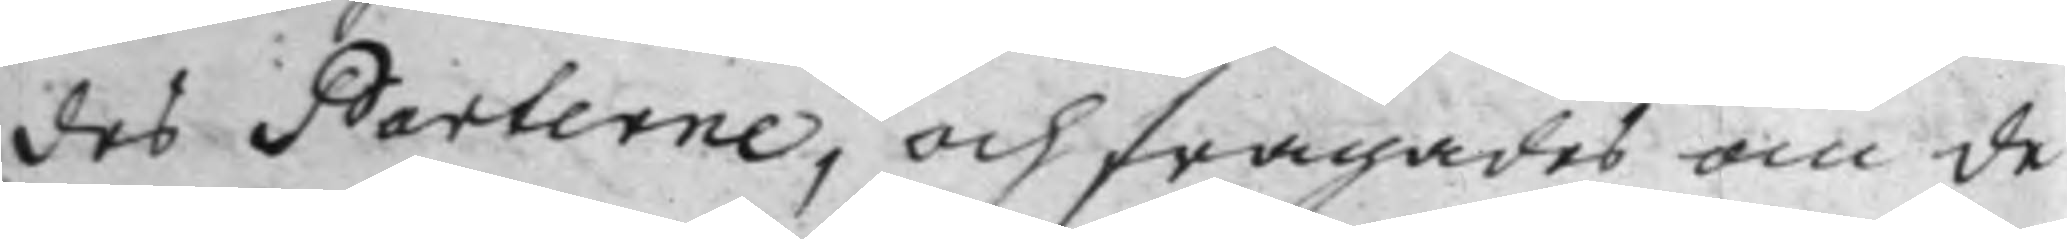des Parterne, och frägades om de
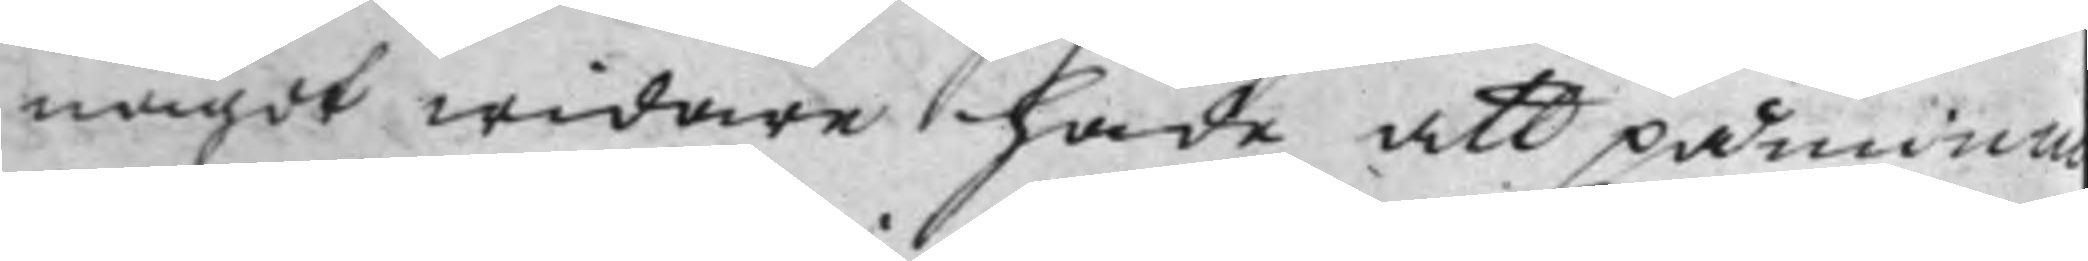något widare hade att påminn
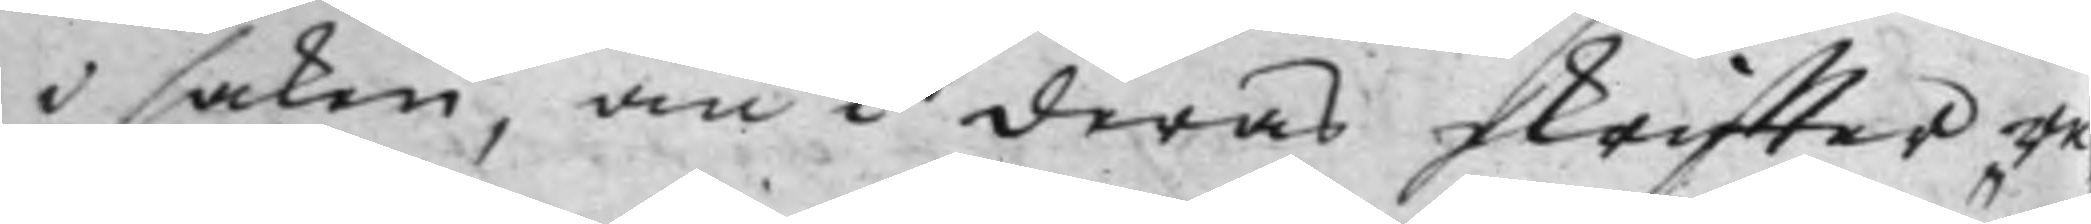i saken, än i deras skriffter re¬
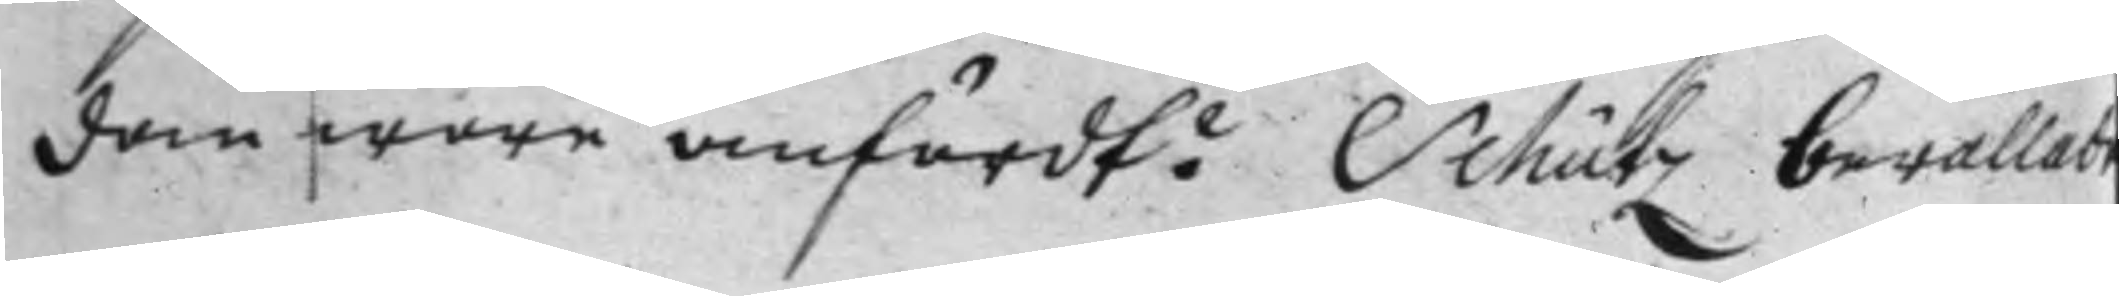dan wore anfördt? Schütz berättade
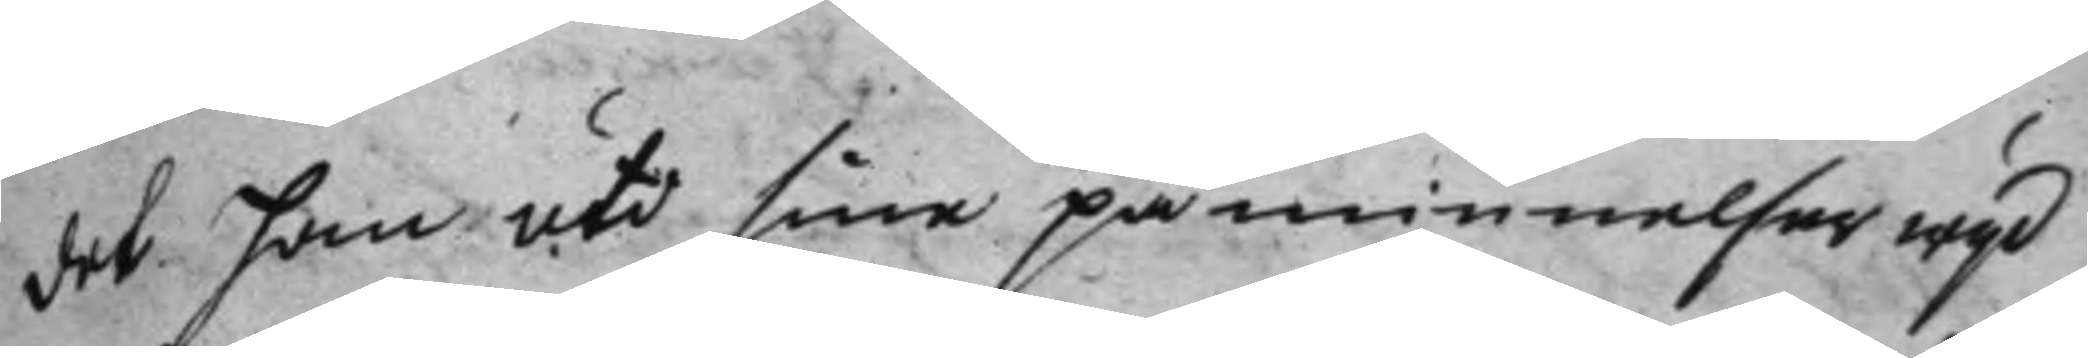det han uti sina påminnelser wijd
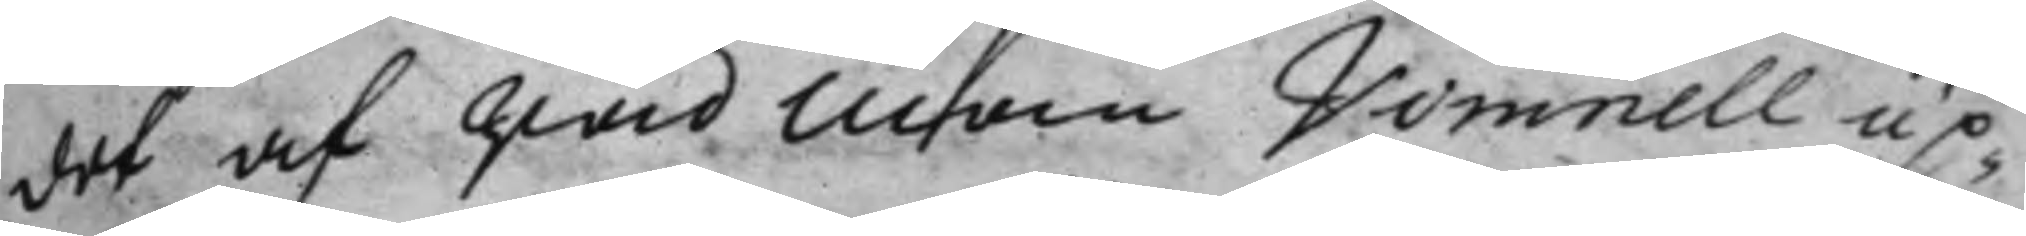det af rådman Vimnell up¬
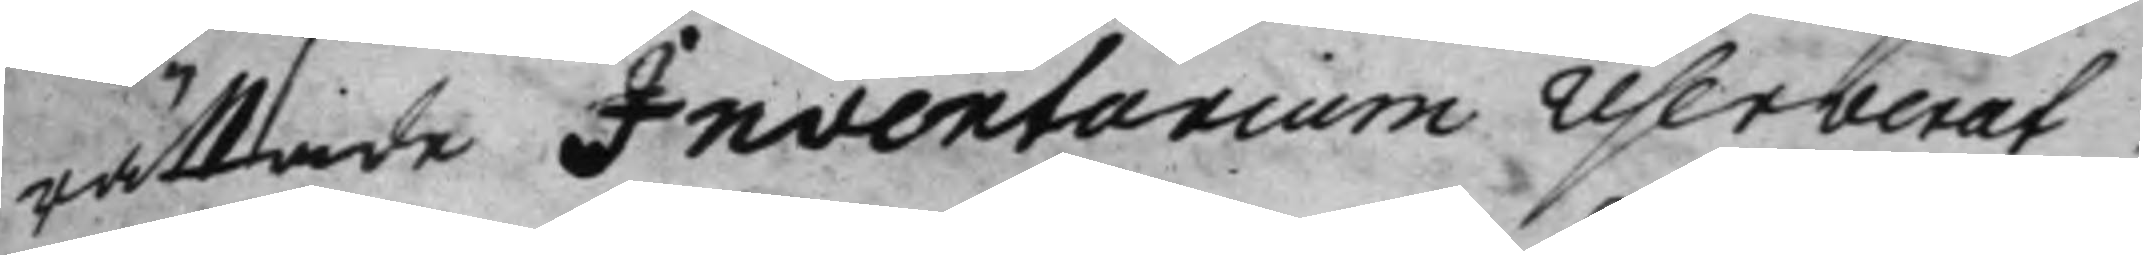rättade Inventarium reserverat,
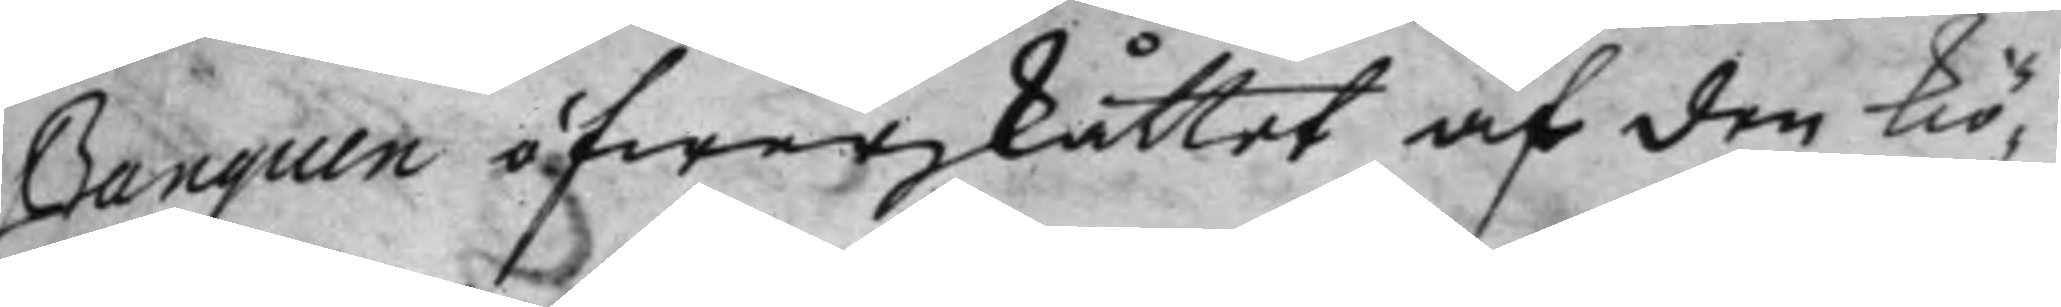Banquen öfwerskåttet af den kiö¬
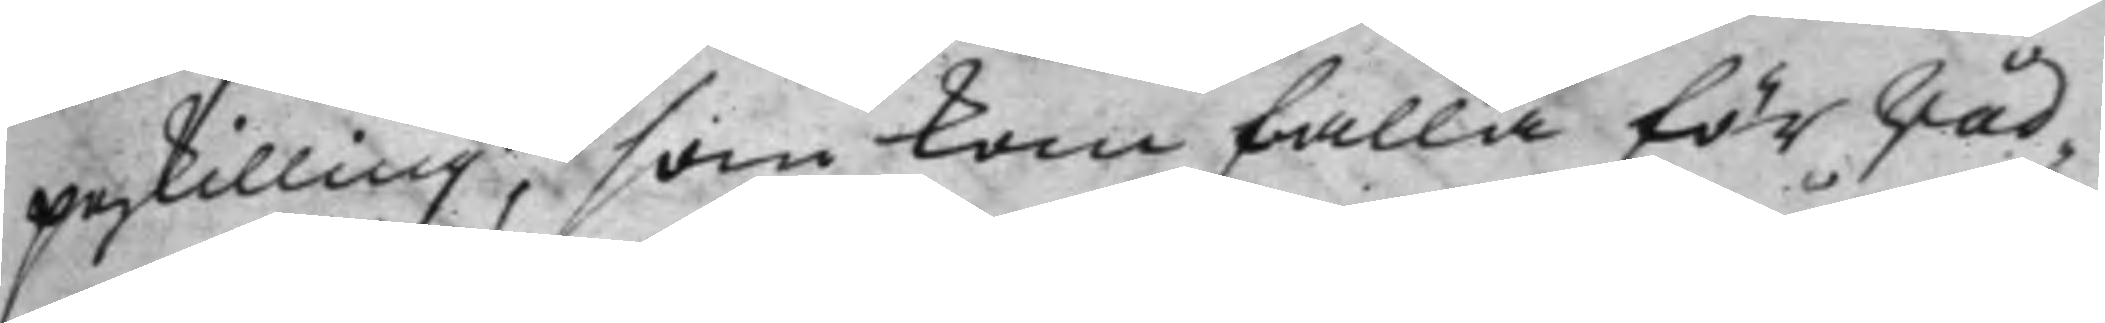peskilling, som kan falla för Råd¬
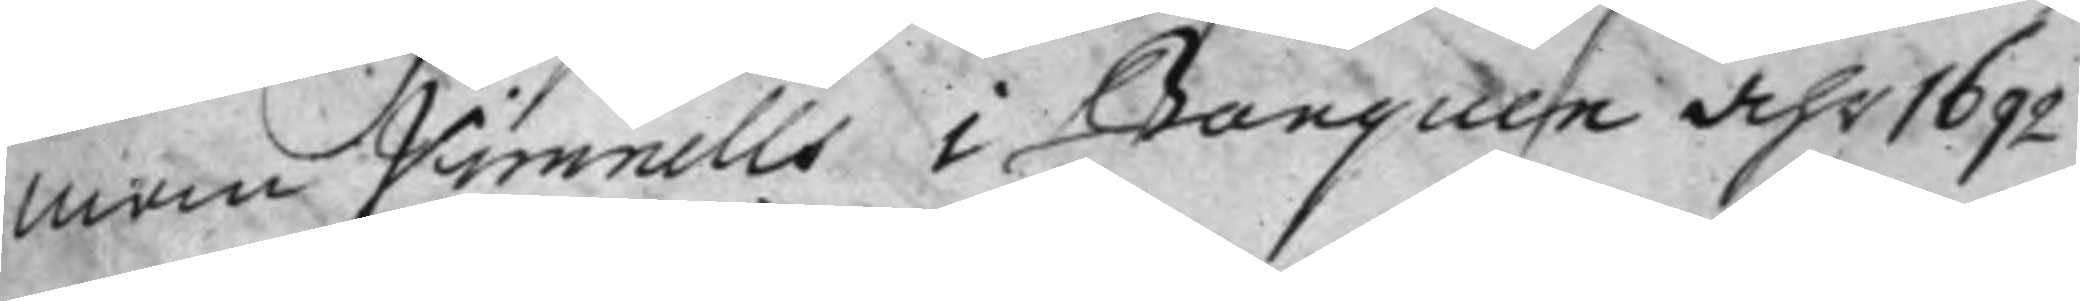men Vimnells i Banquen åhr 1692
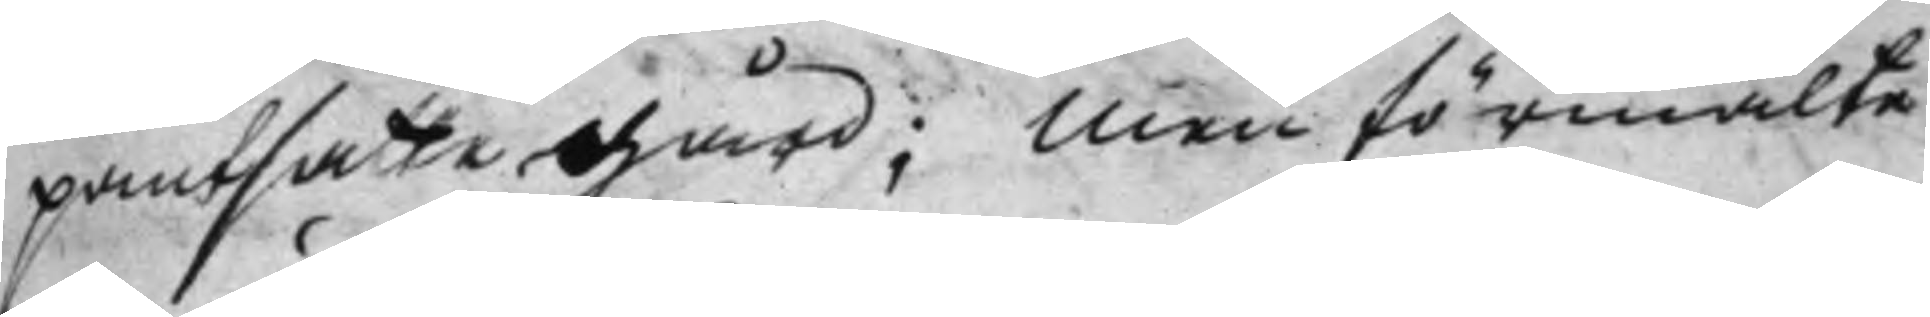pantsatte gård; Men förmälte
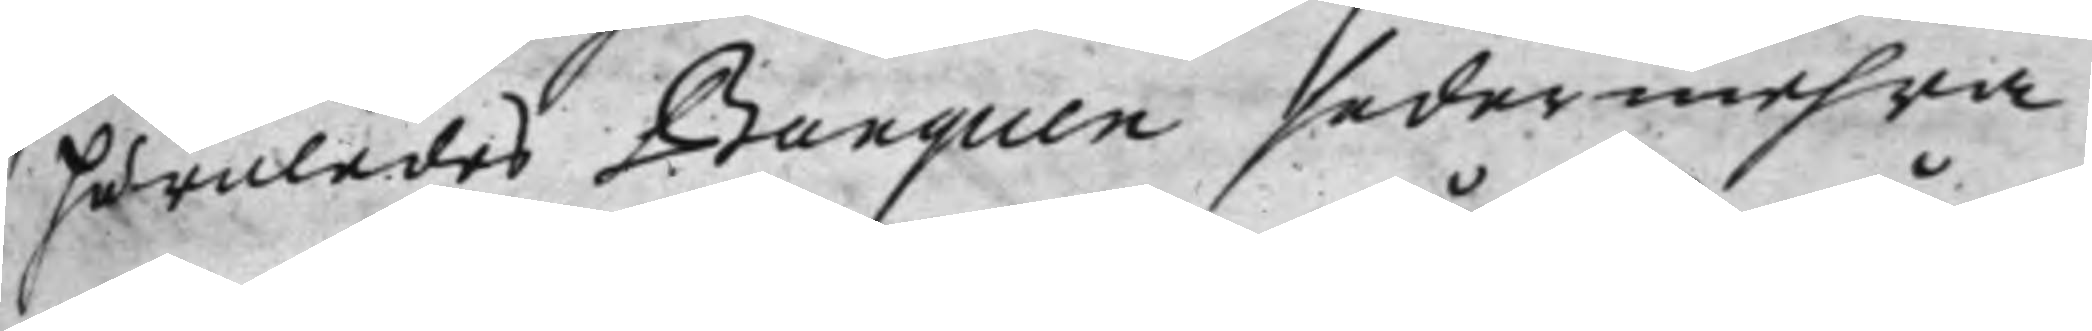huruledes Banquen sedermehra
